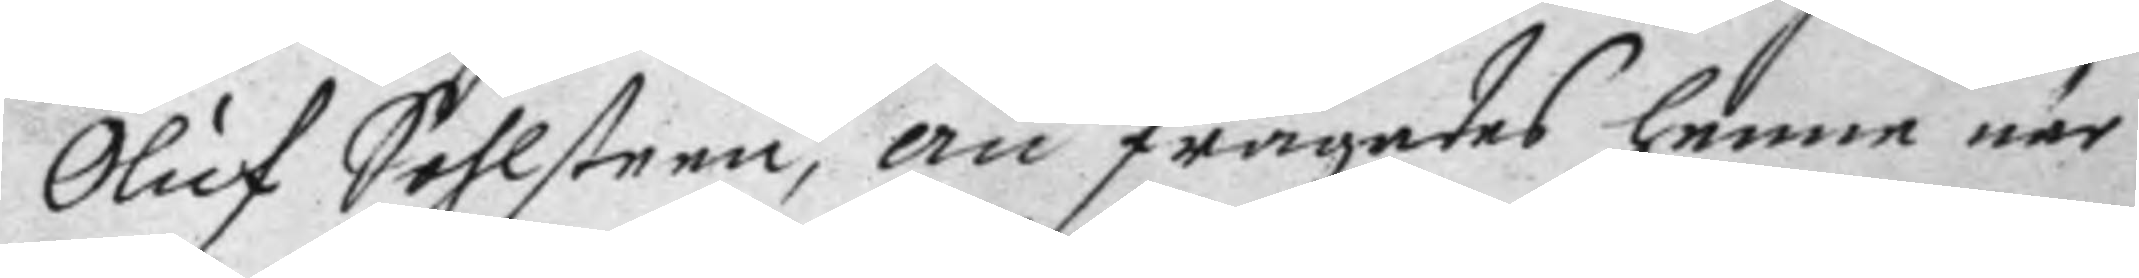Oluf Solhsteen, än frågades henne när
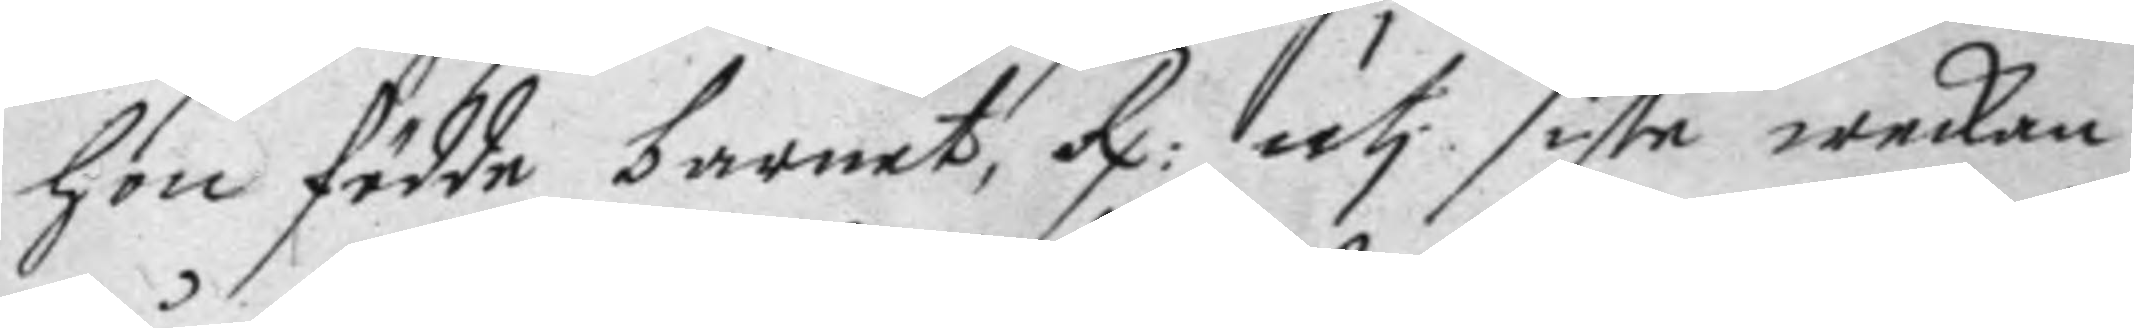hon födde barnet, Rx: uti siste weckan
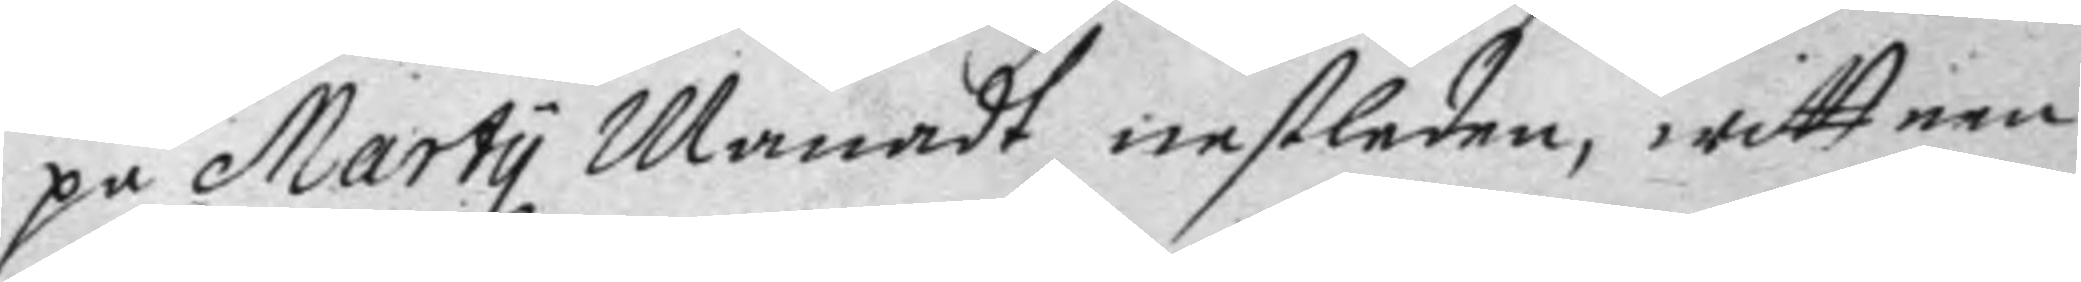på Marty Månadt nestledne, wittnen
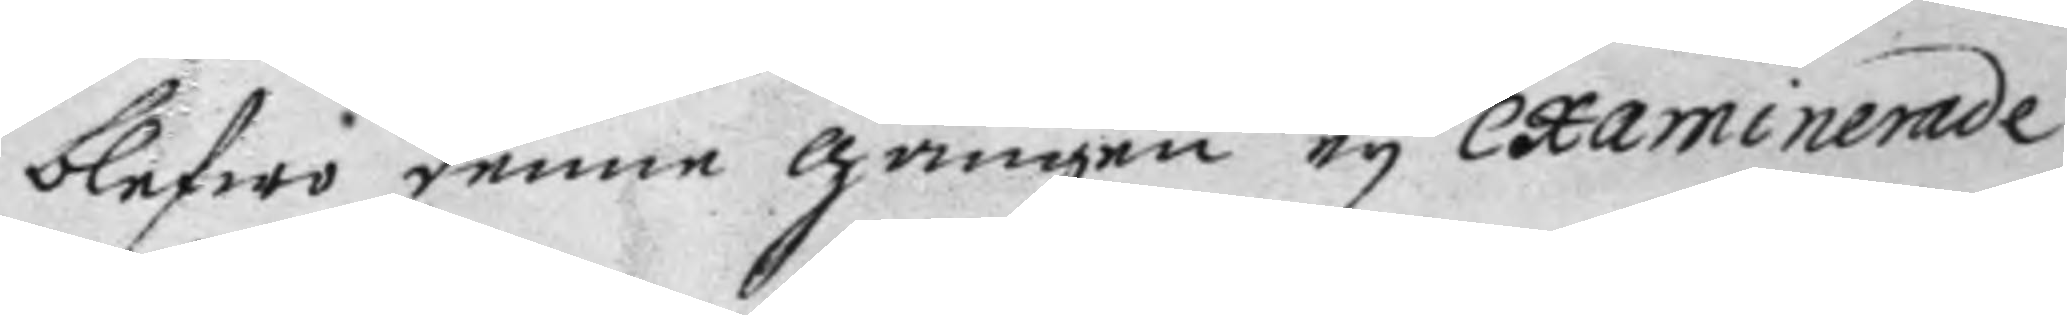blefwo denne gången ey examinerade
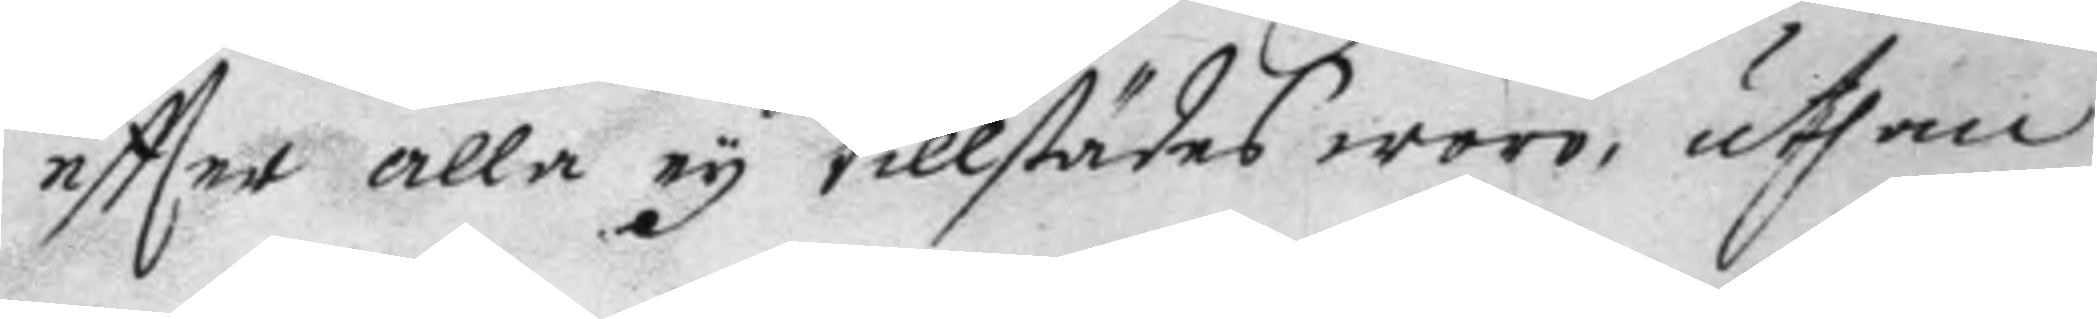eftter alla ey tillstädes woro, uthan
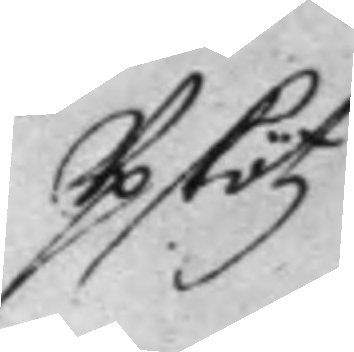Upskötz
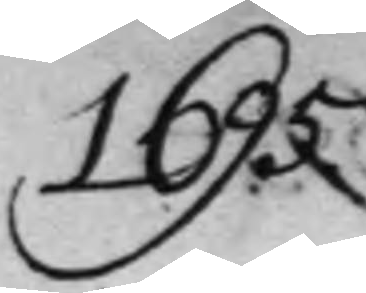1695
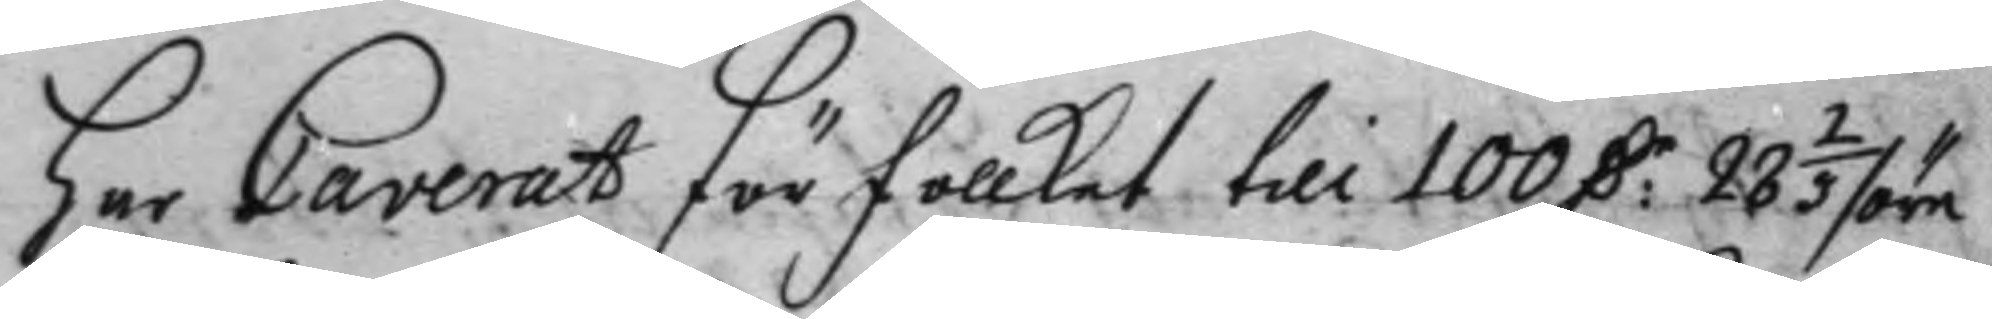har Caverat för follket till 100 D:r 28 2/3 /öre
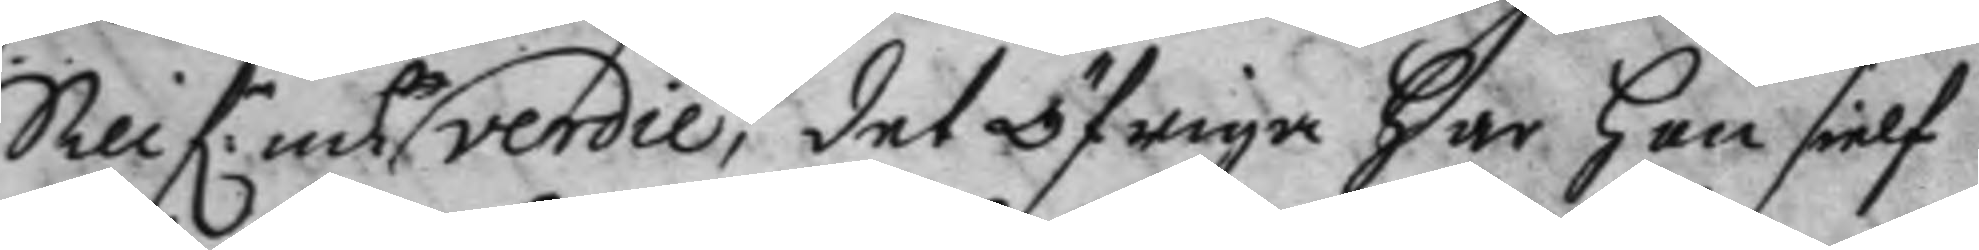Sillf:r mtz verdie, det öfriga har han sielf
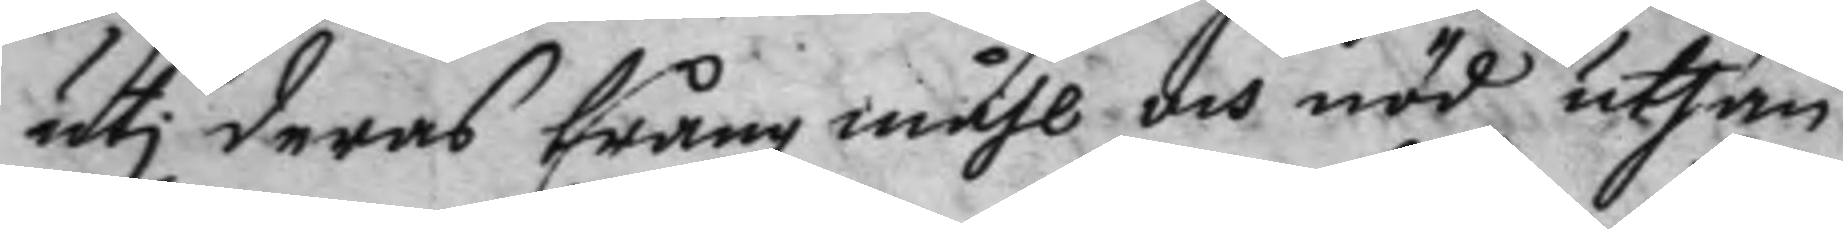uti deras trång måhl och nöd uthan
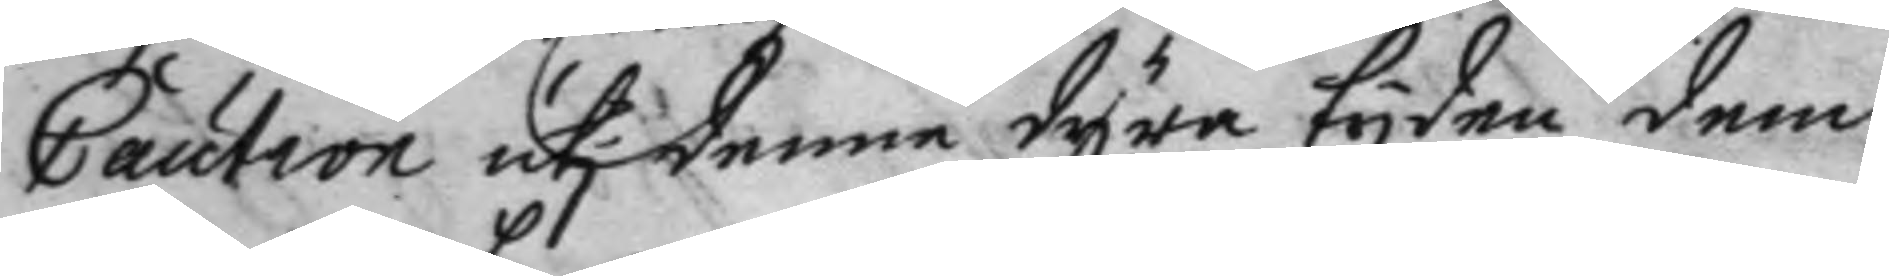Caution uti denne dyra tyden dem
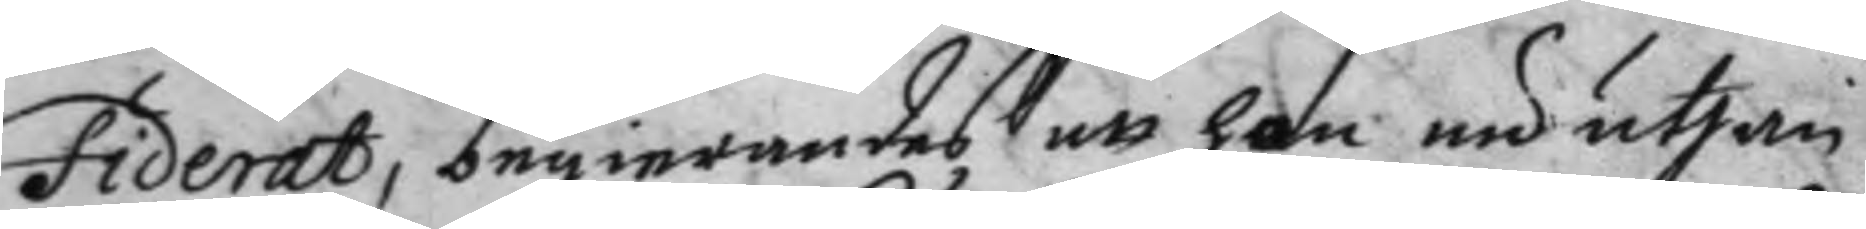fiderat, beginrandes att han nu uthan
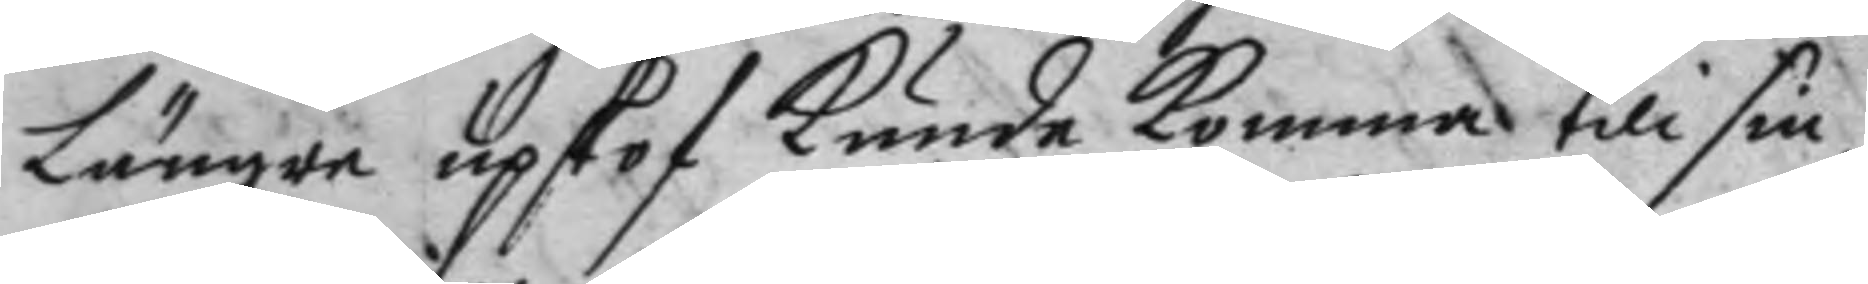längre upskof kunde komma till sin
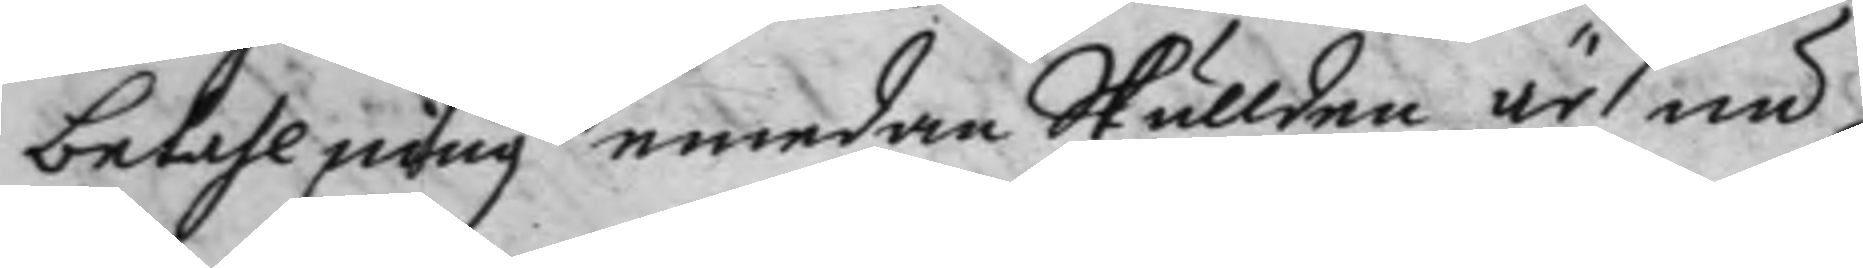betahlning emedan Skullden är nu
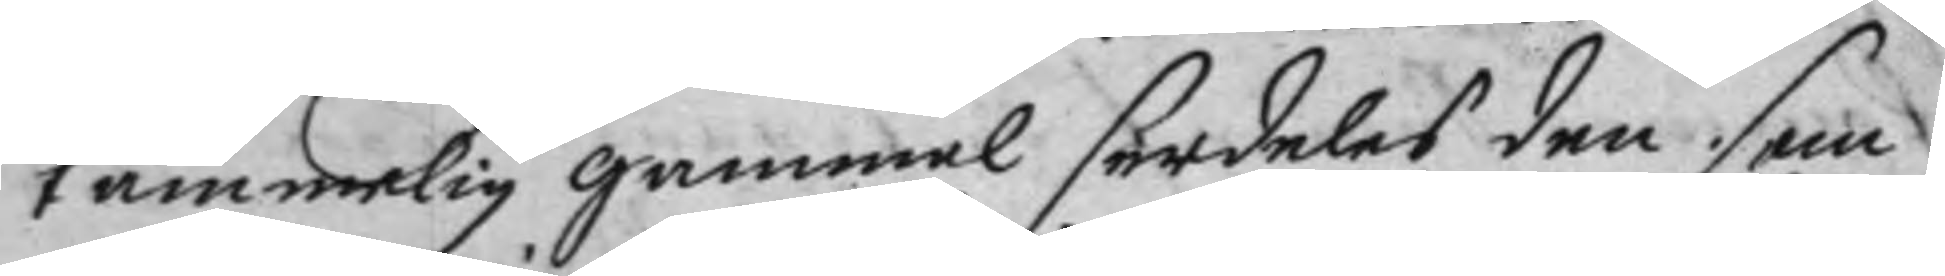tämmelig gammal serdeles den som
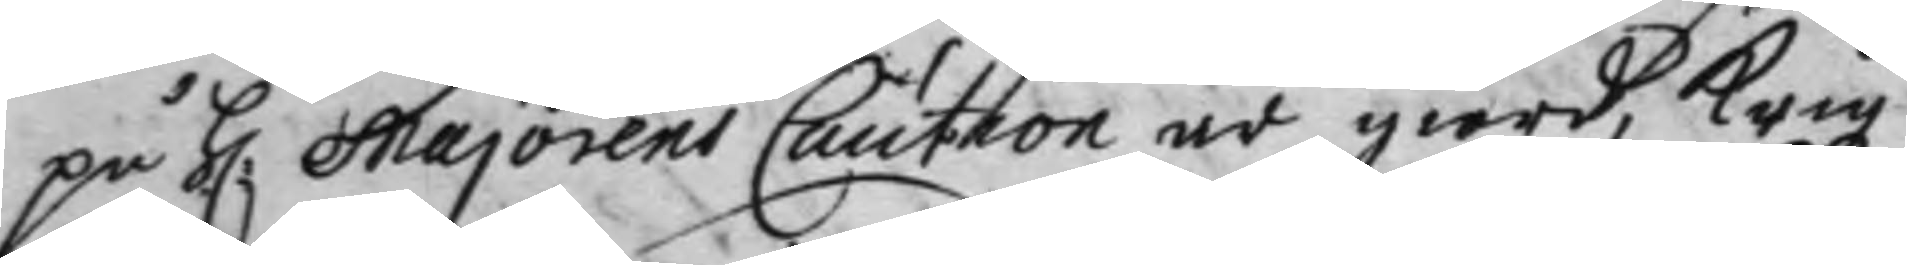på H: majorens Caution är giord, Krigz
